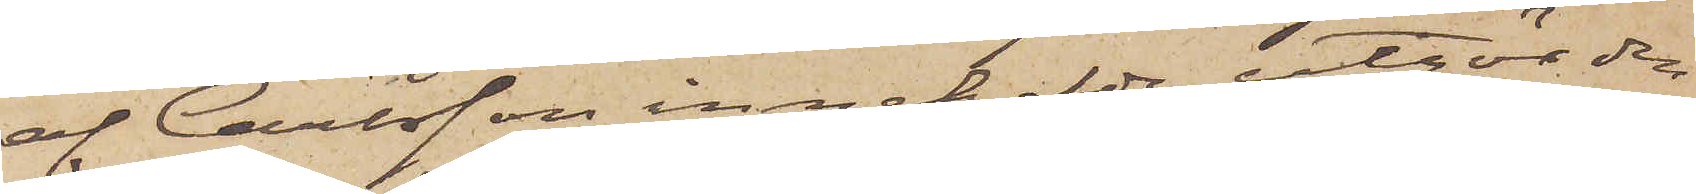af Carlsson innehafde utgör den
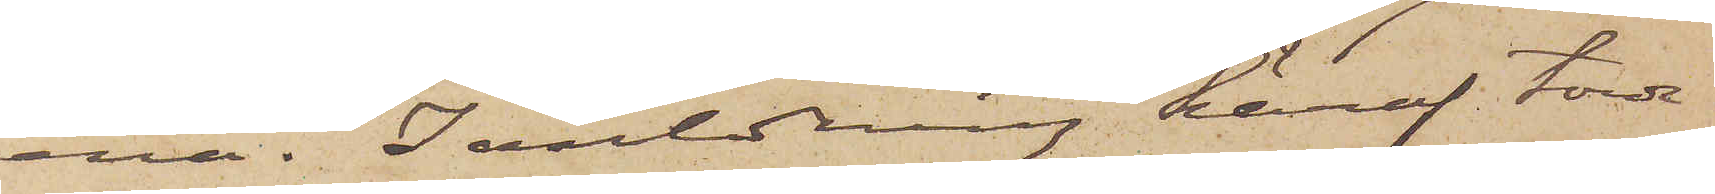ena. I anledning häraf torde
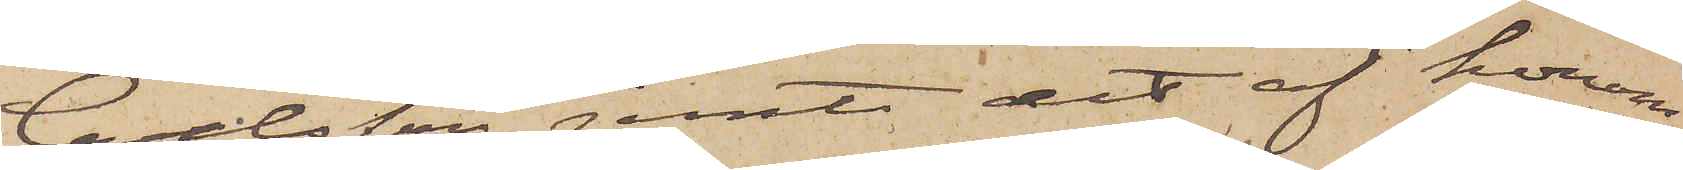Carilsson jemte det af honom
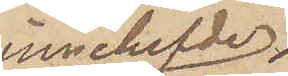innehafde
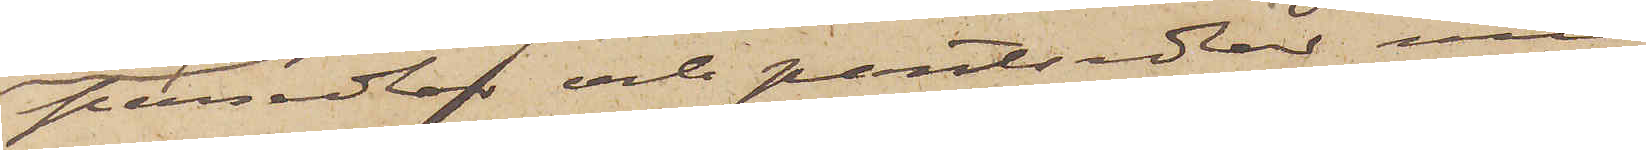persedlar och pantsedlar med
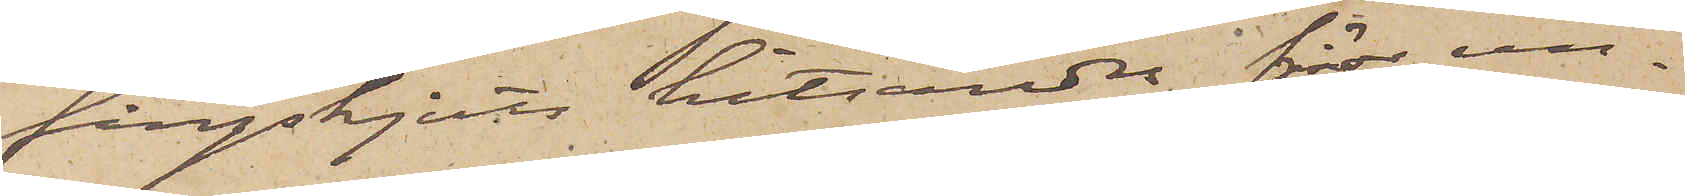fångskjuts hitsändas för un¬
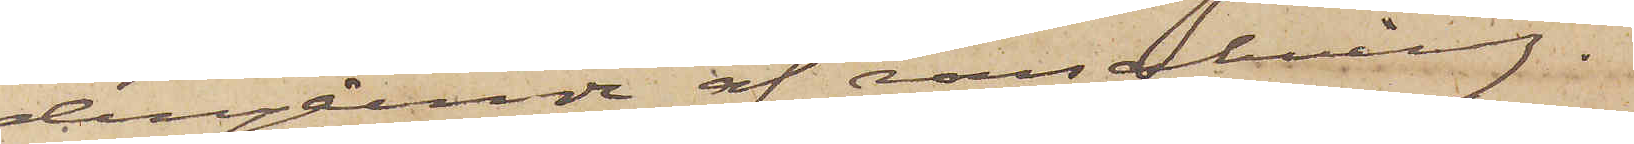dergående af ransakning.
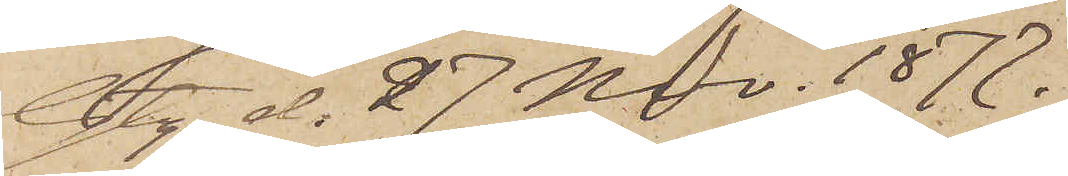Gbg d. 27 Nov. 1877.
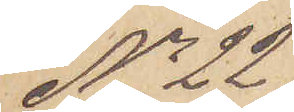No 22
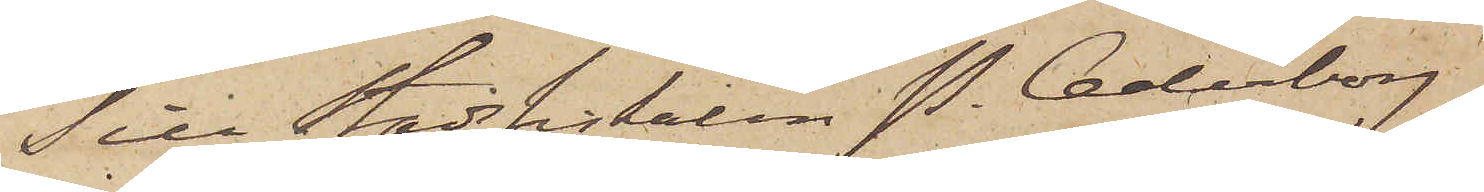Till Stadsfiskalen P. Cederborg.
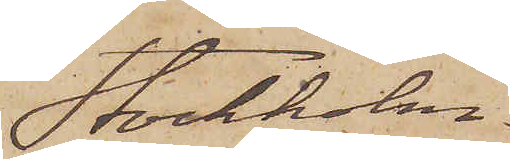Stockholm.
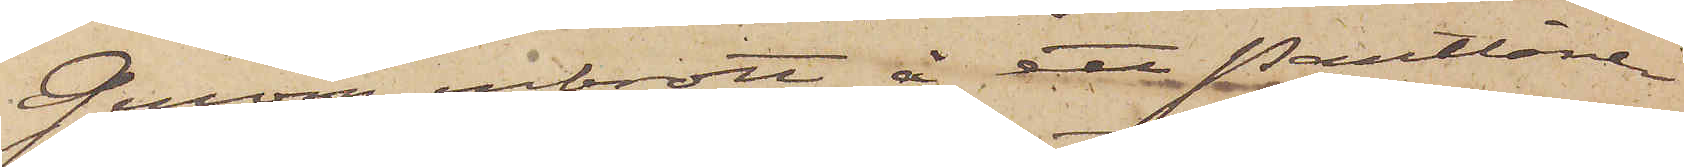Genom inbrott å ett Pantlåne¬
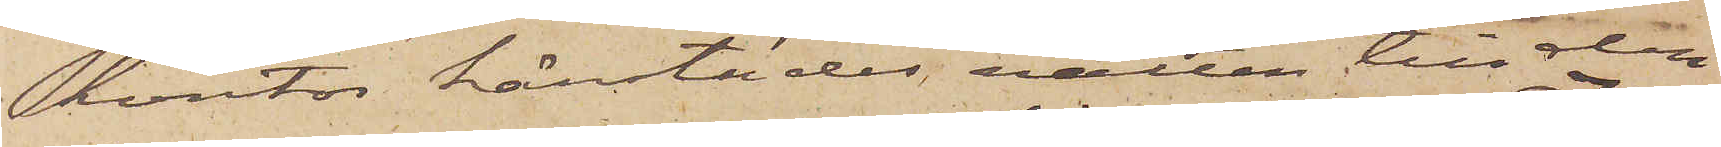kontor härstädes, natten till den
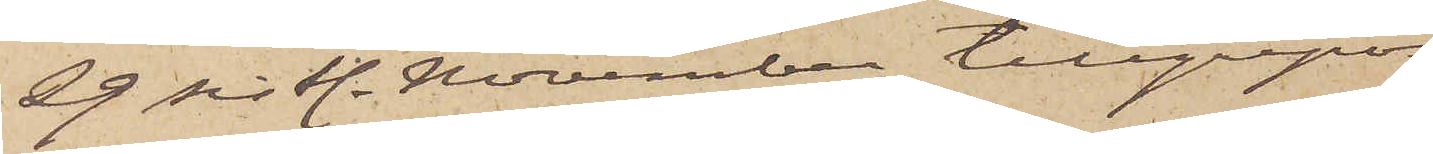29 sistl. November tillgripos
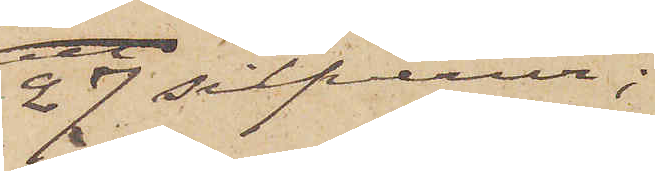27 silfverur;
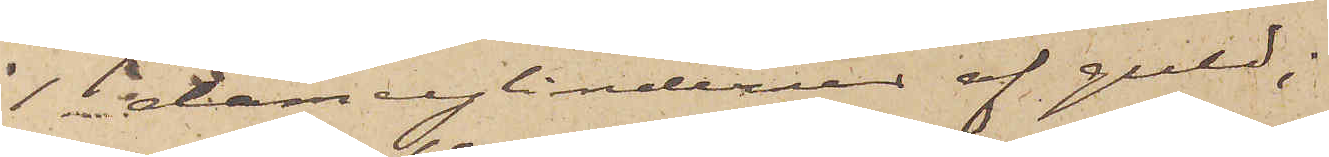1 damcylinderur af guld;
